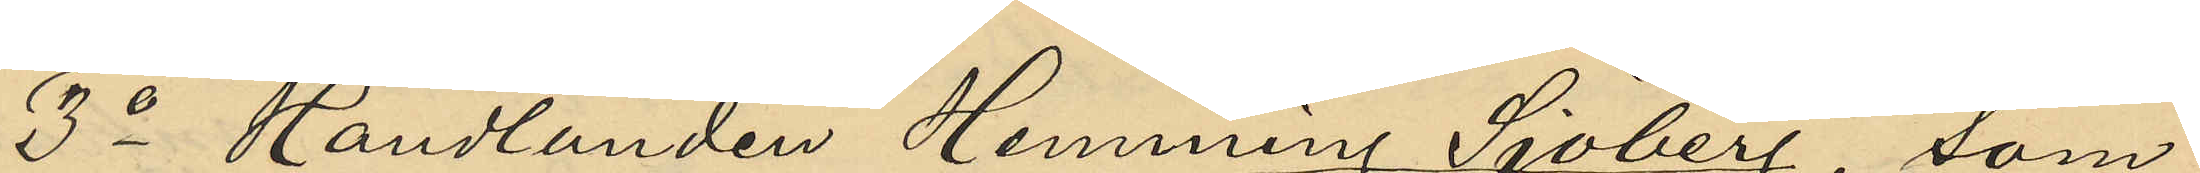3o Handlanden Henning Sjöberg, som
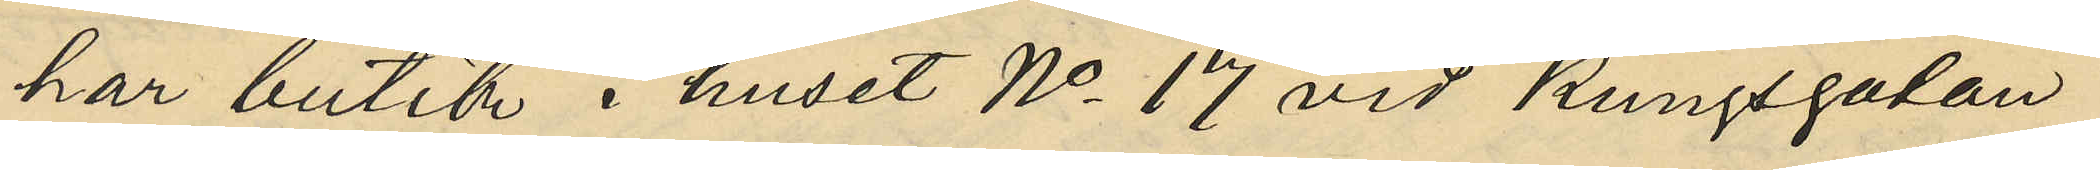har butik i huset No 17 vid Kungsgatan
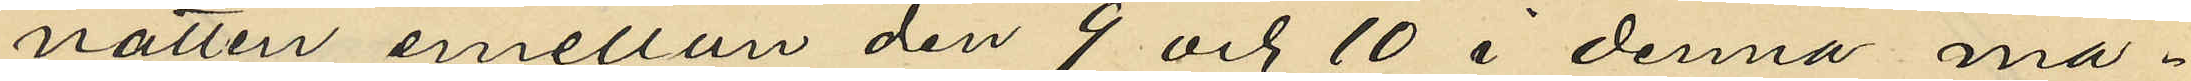natten emellan den 9 och 10 i denna må¬
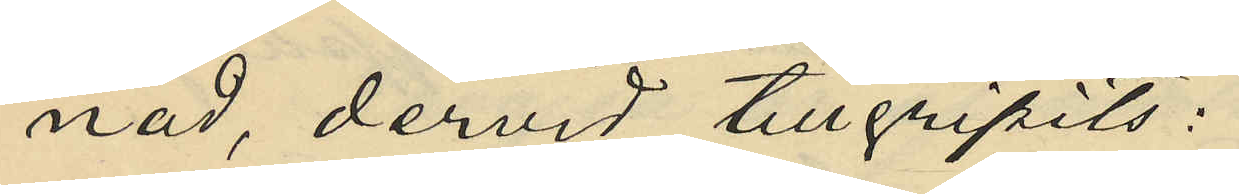nad, dervid tillgripits:
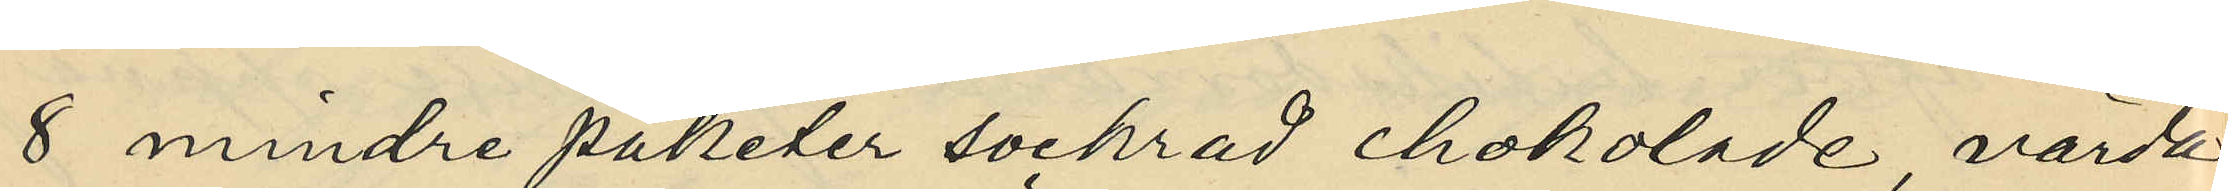8 mindre paketer sockrad chokolade, värda
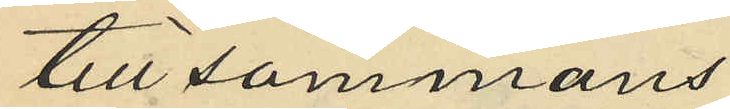tillsammans
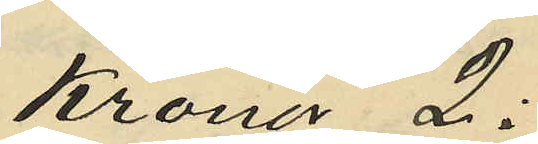Kronor 2:
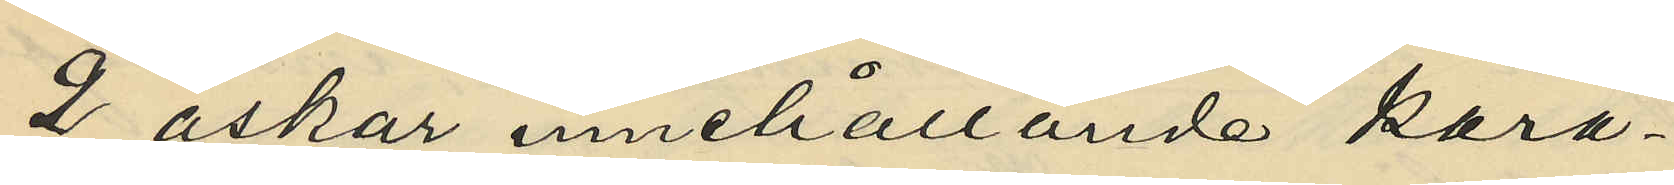2 askar innehållande kara¬
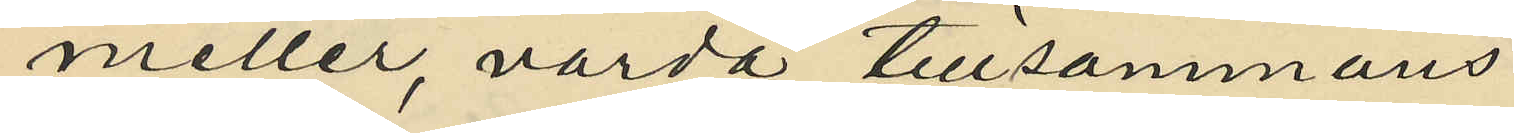meller, värda tillsammans
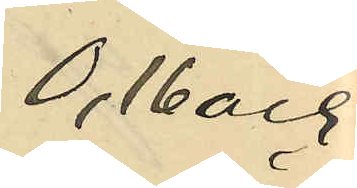0,16 och
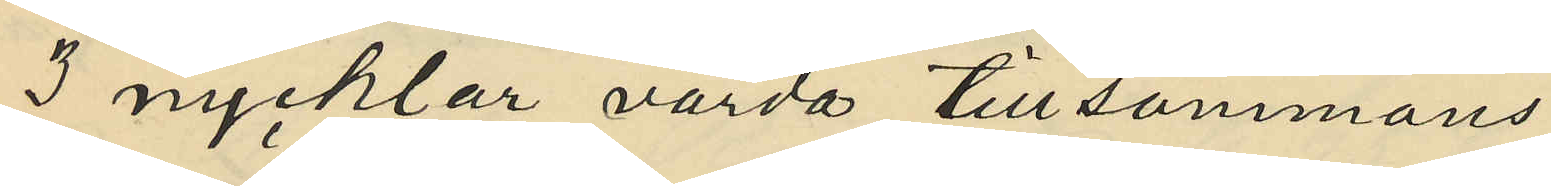3 nycklar värda tillsammans
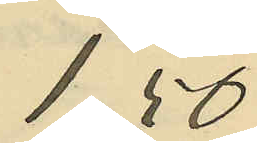1,50
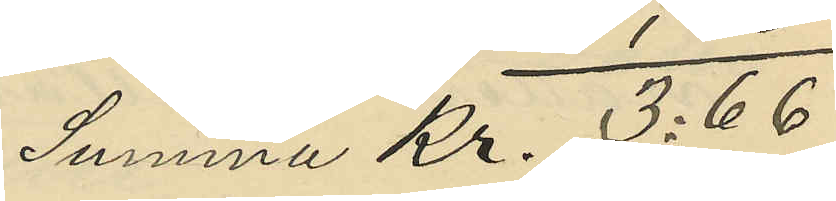Summa Kr. 3:66
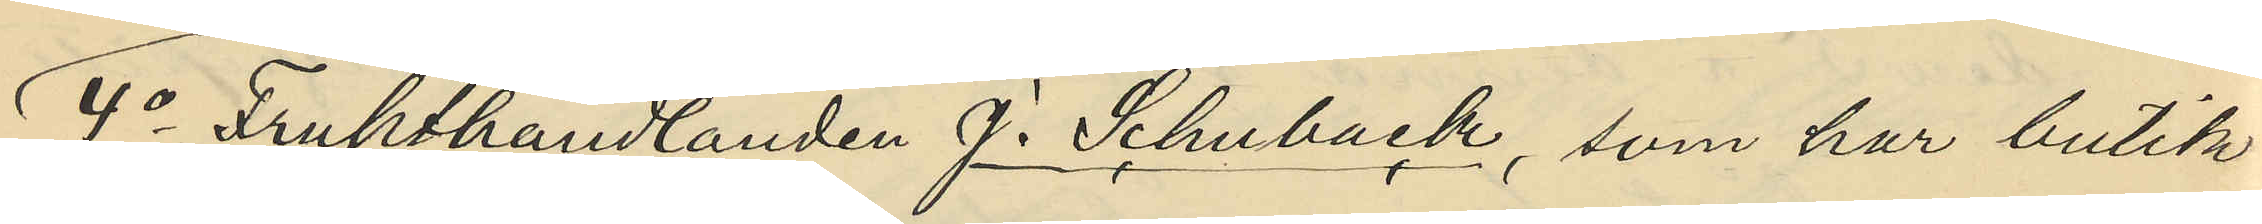4o Frukthandlanden J. Schuback, som har butik
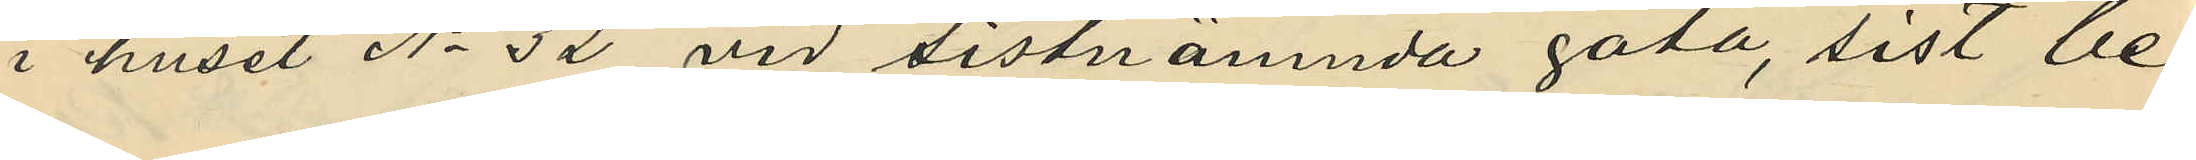i huset No 32 vid sistnämnda gata, sist be¬
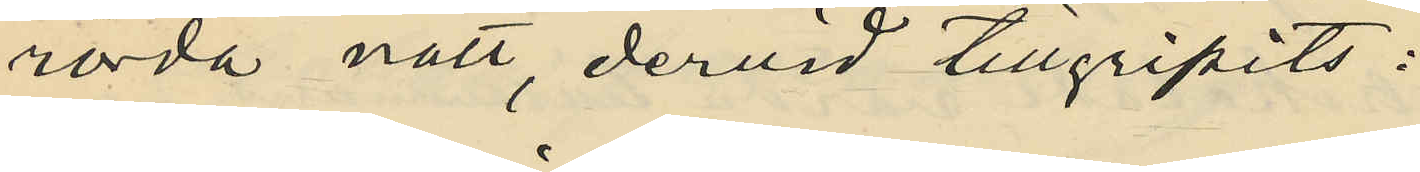rörda natt, dervid tillgripits:
